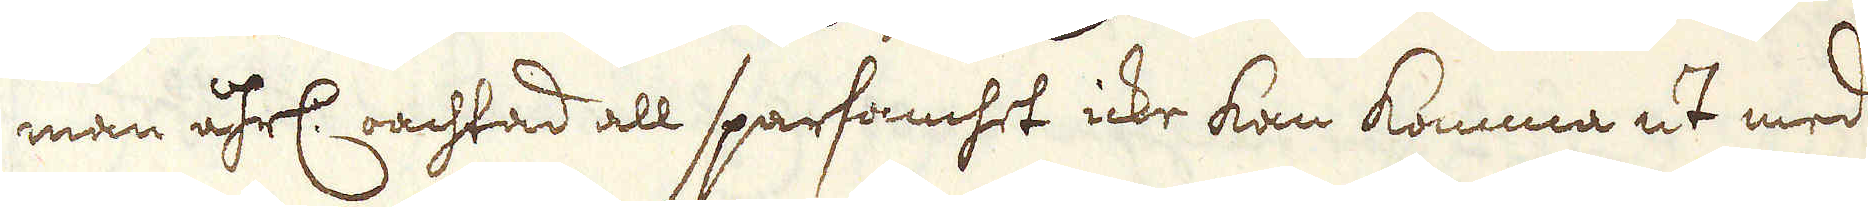man åhrl: oachtad all sparsamhet icke kan komma ut med
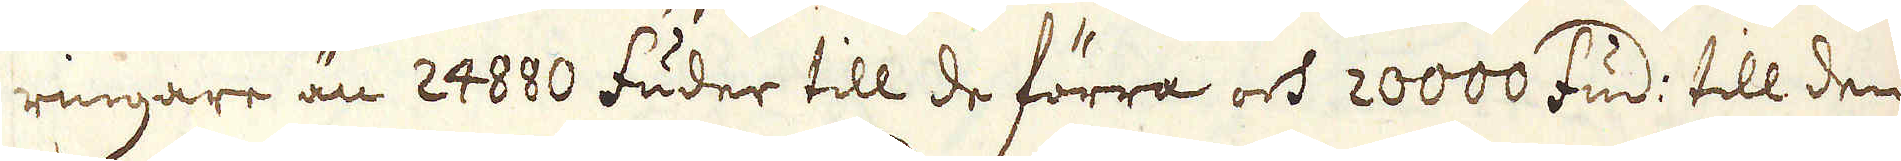ringare än 24800 fuder till de förra och 20000 fud: till den
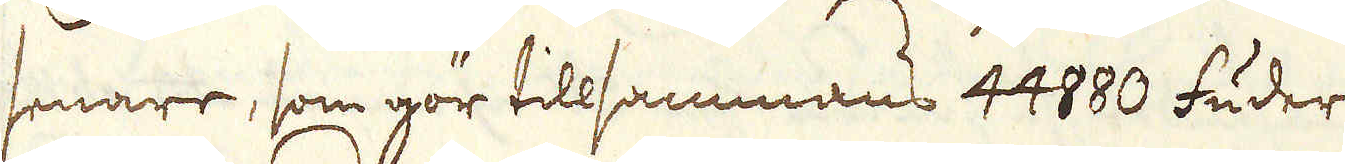senare, som gör tillsammans 44880 fuder.
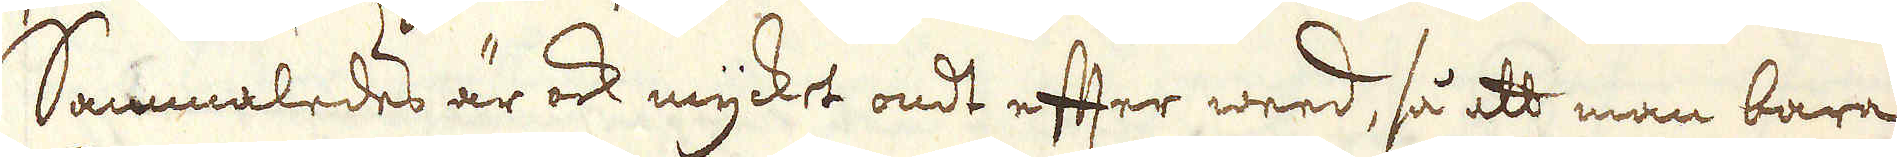Sammaledes är ock mycket ondt efter weed, så att man bara
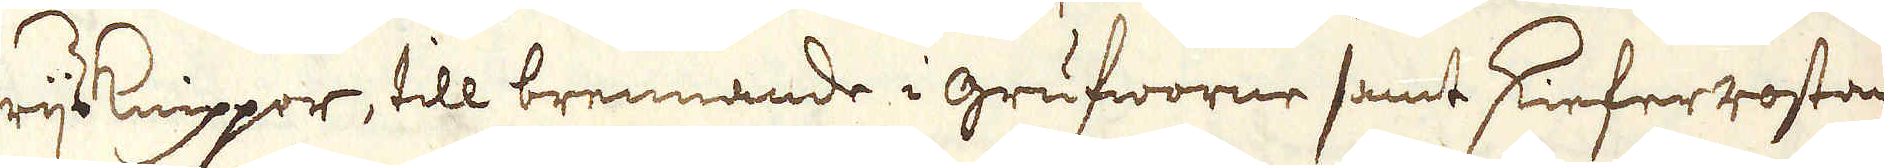rijsknippor, till brennande i grufworne samt skieferrostan-
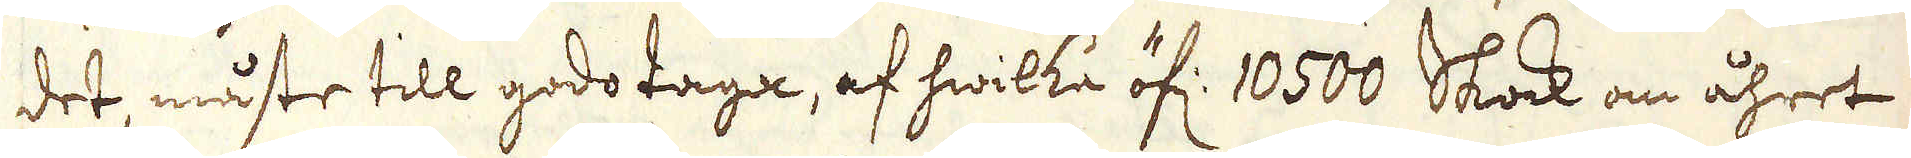det, måste till godo taga, af hwilka öf: 10500 Skock om åhret
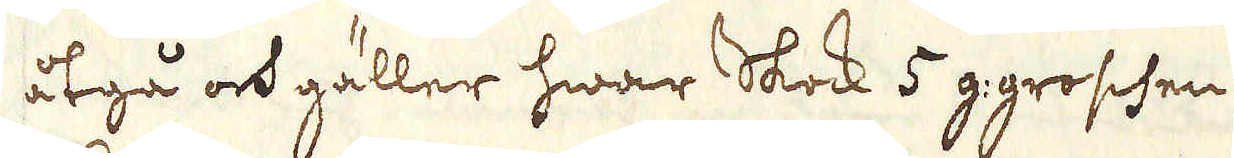åtgå och gäller hwar Skock 5 g: groschen.
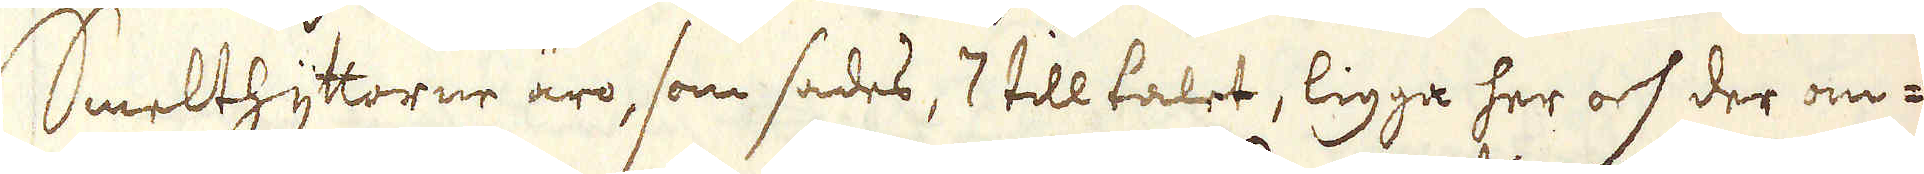Smelthyttorne äro, som sades, 7 till talet, ligga her och der om-
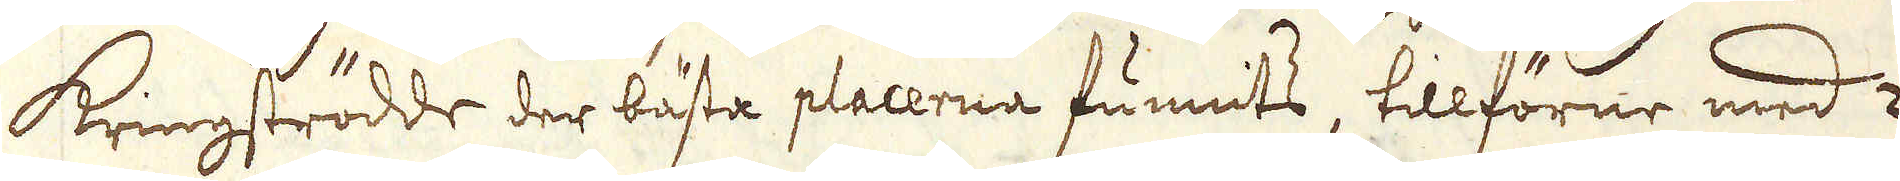kringströdde der bästa placerna funnits, tillförne med 2
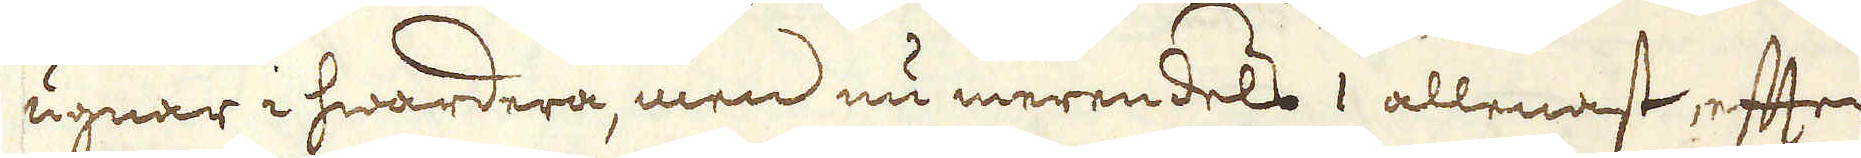ugnar i hwardera, men nu merendels 1 allenast, efter
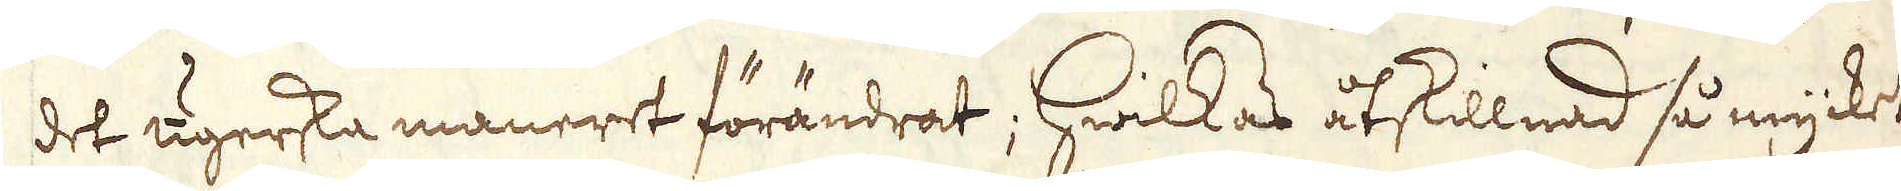det ugerska maneret förändrat; Hwilkas åtskillnad så mycket
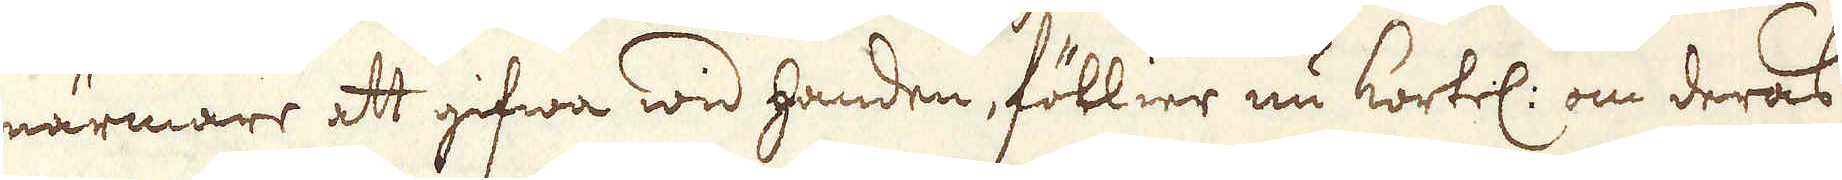närmare att gifwa wid handen, föllier nu kortel: om deras
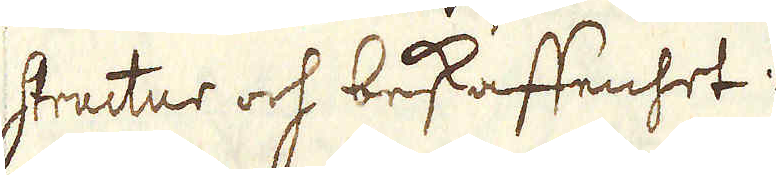structur och beskaffenhet:
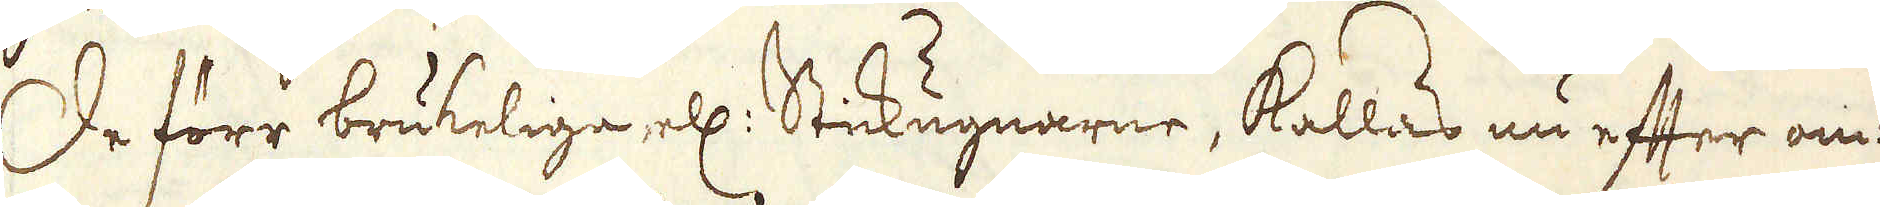De förr brukeliga, ell: Stickugnarne, kallas nu efter om-
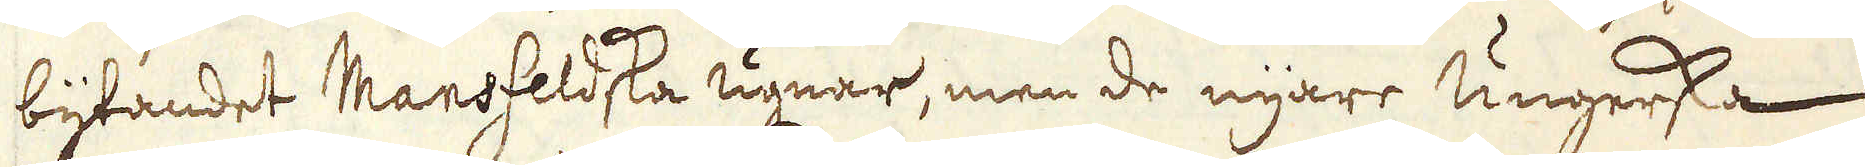bytandet Mansfeldska ugnar, men de nyare Ungerska:
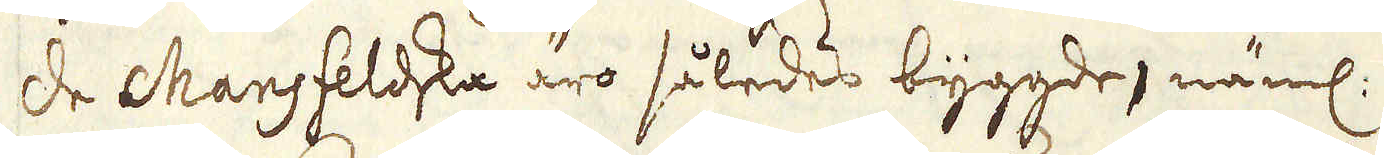de Mansfeldska äro således byggde, näml:
